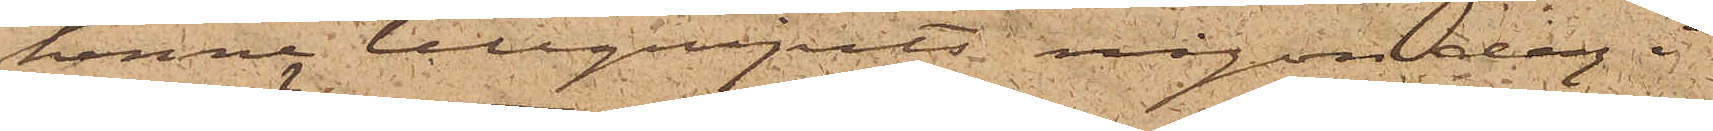henne tillgripits någon dag i
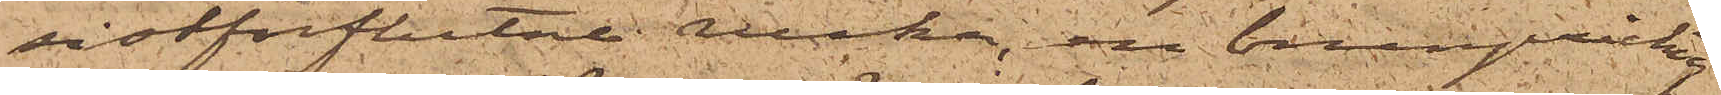sistförflutne vecka, en brunprickig
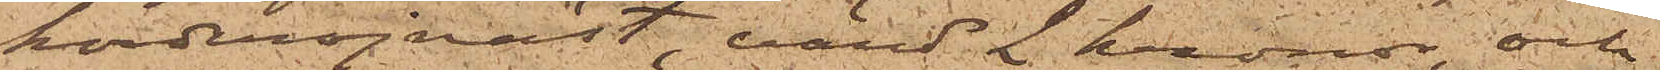korderojväst, värd 2 kronor, och
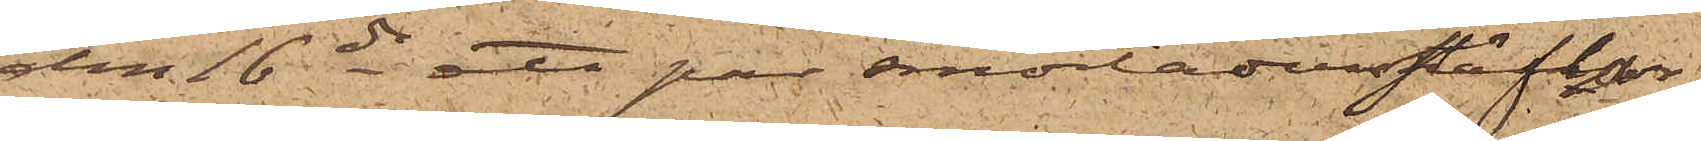den 16 ds ett par smorläderstöflar
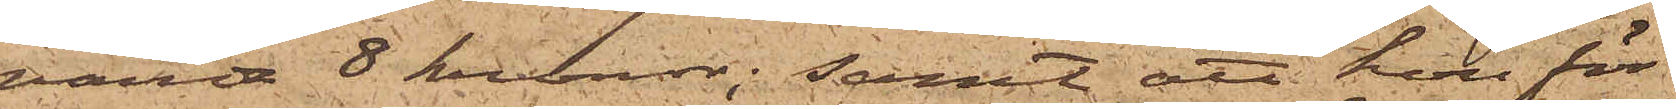värde 8 kronor; samt att hon för
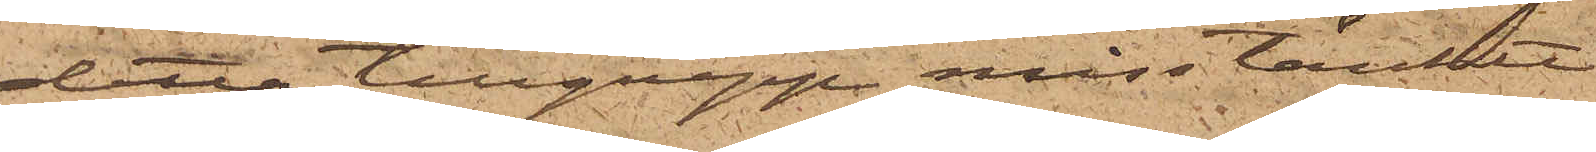detta tillgrepp misstänkte
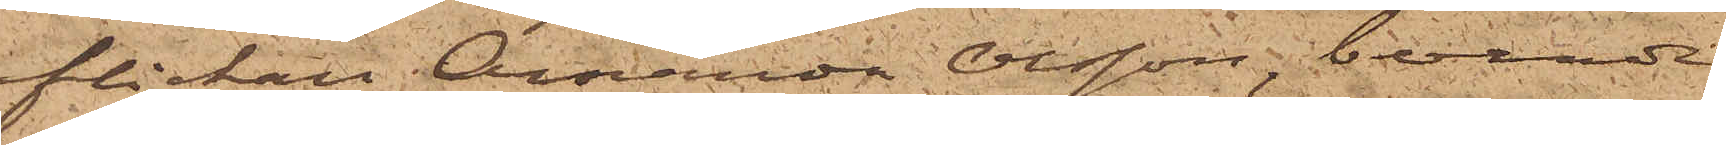flickan Amanda Olsson, boende
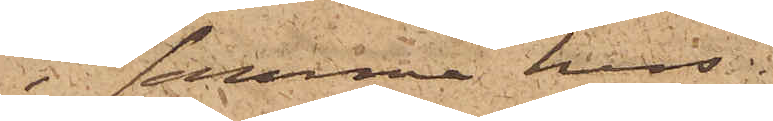 samma hus.
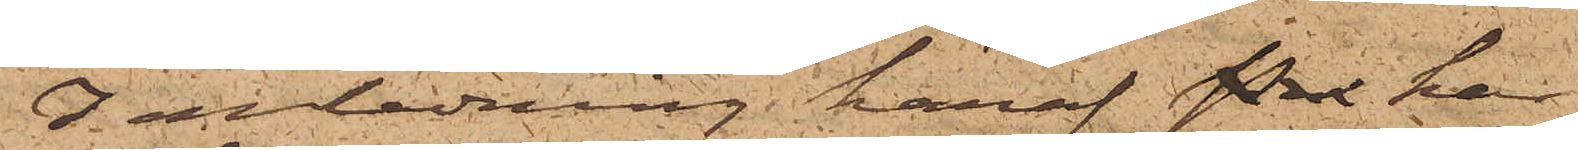I anledning häraf Per har
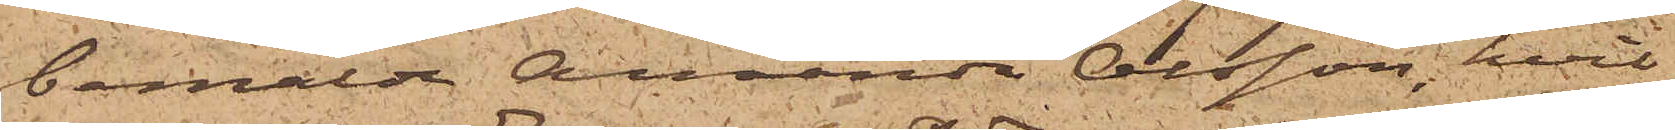bemälde Amanda Olsson, hvil¬
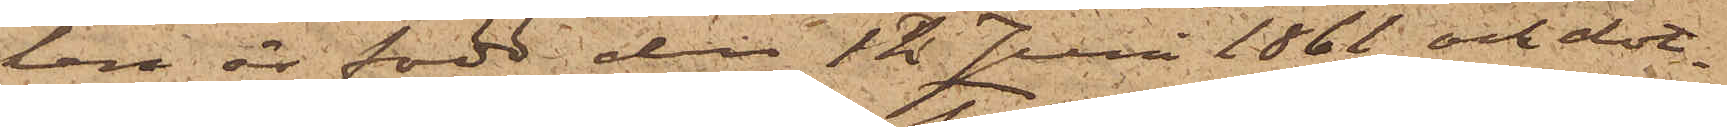len är född den 12 Juni 1866 och dot¬
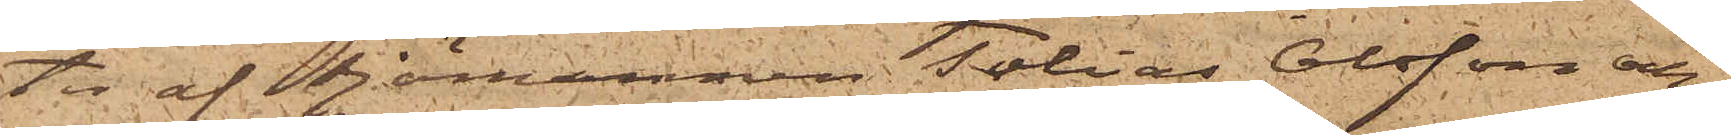ter af Sjömannen Tobias Olsson och
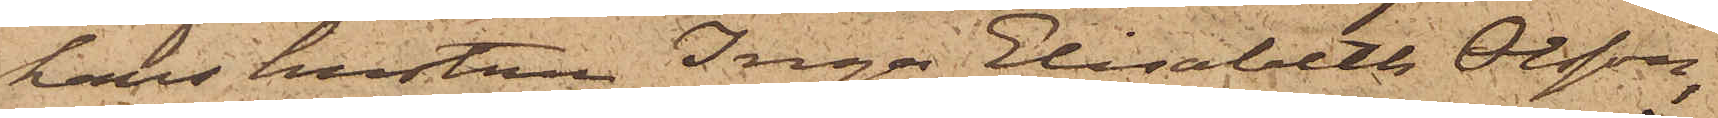hans hustru Inga Elisabeth Olsson,
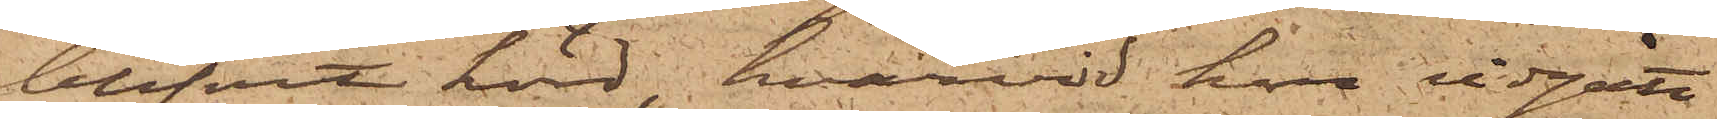blifvit hörd, hvarvid hon vidgått
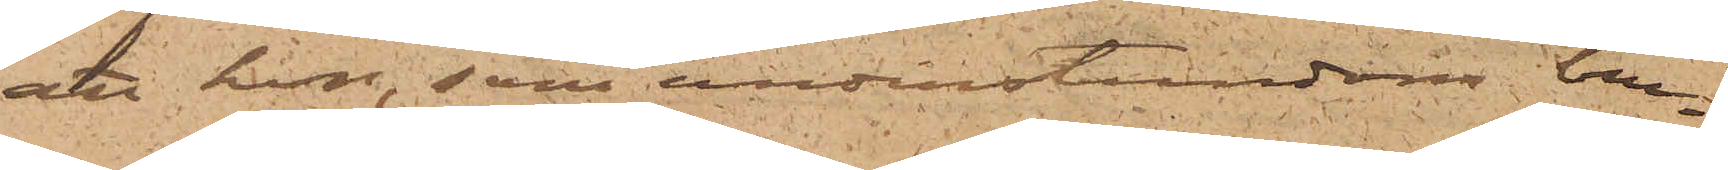att hon, som understundom bru¬
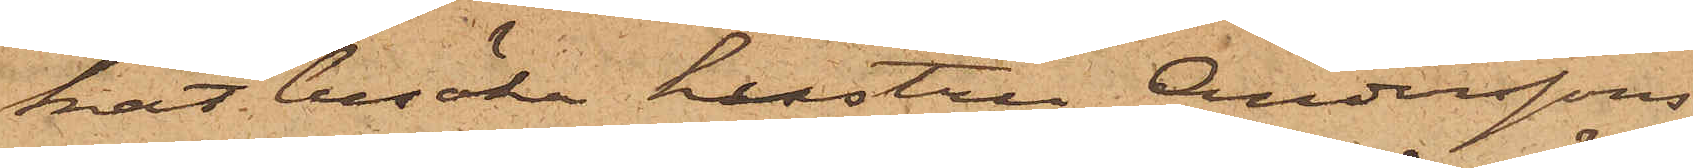kat besöka hustru Anderssons
